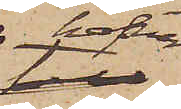hafva
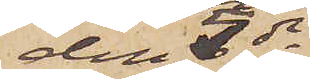den 5 ds
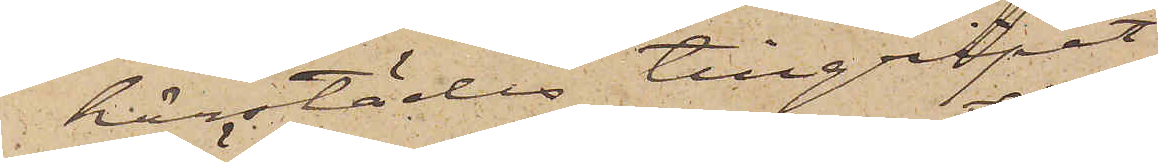härstädes tillgripit
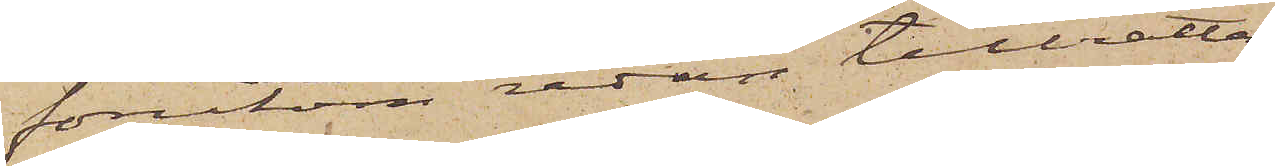förutom redan tillrätta¬
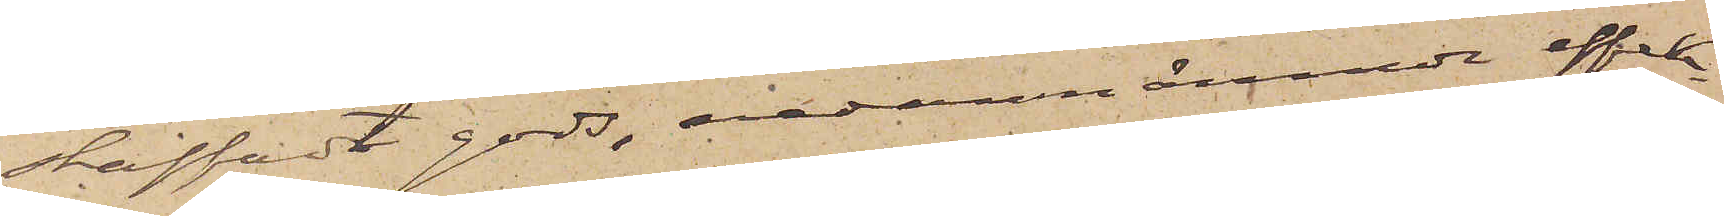skaffadt gods, nedannämnde effek¬
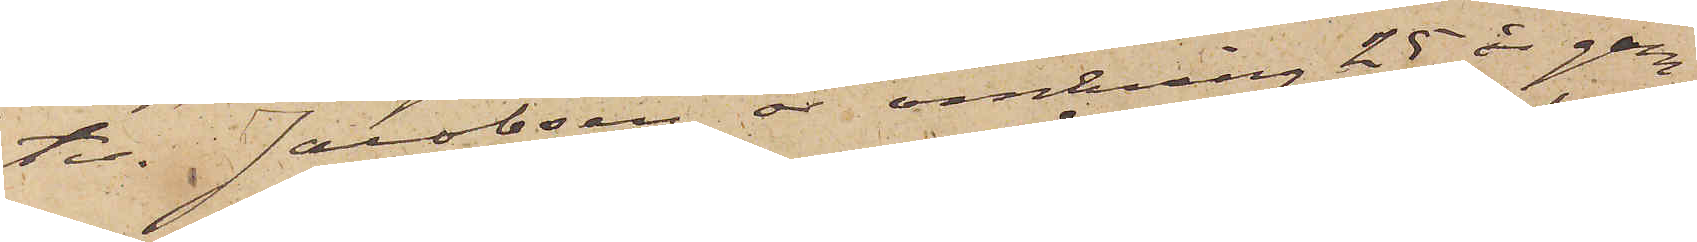ter. Jacobsen är omkring 25 år gam¬
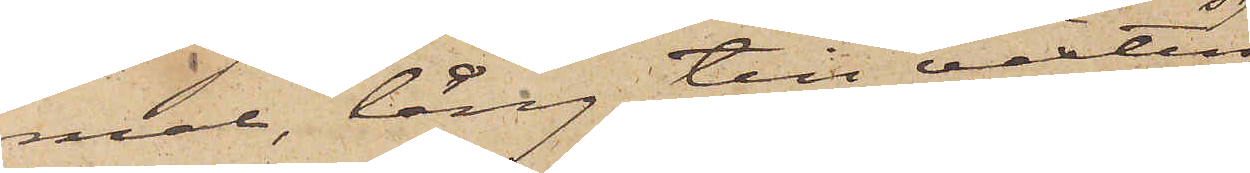mal, lång till växten,
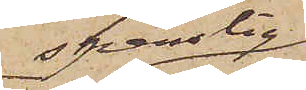spenslig
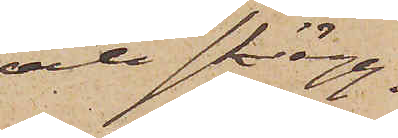och skägg¬
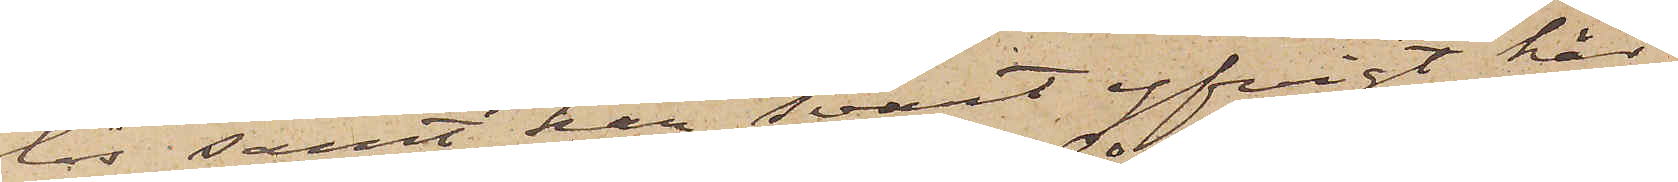lös samt har svart yfvigt hår,
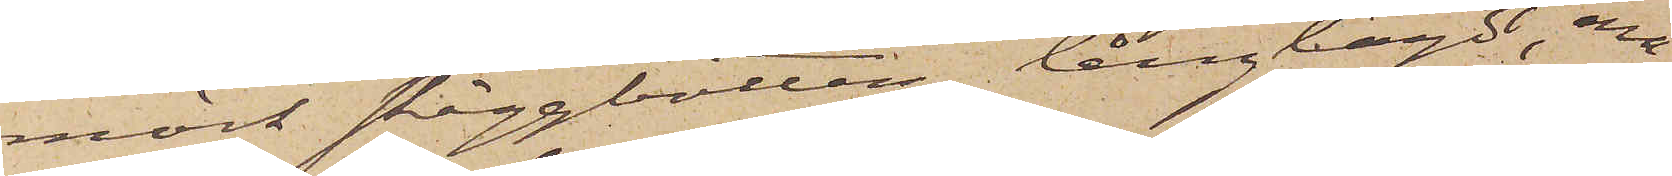mörk skäggbotten, långlagdt, ma¬
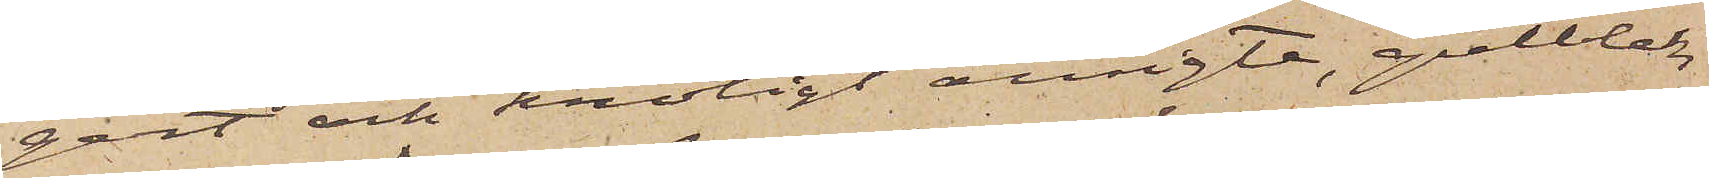gert och knotigt ansigte, gulblek
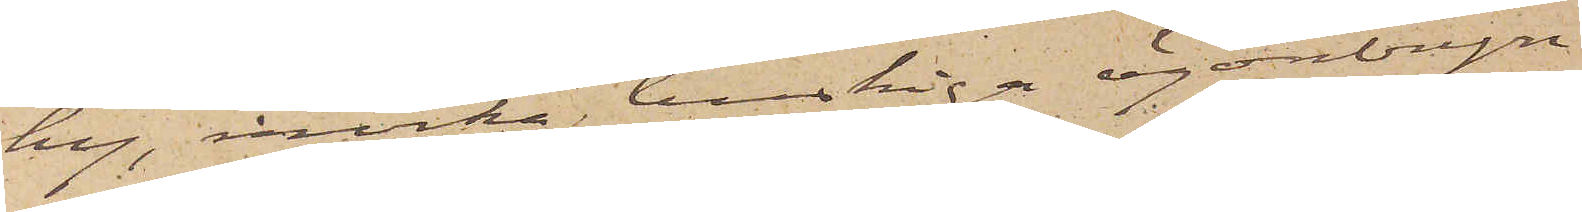hy, mörka buskiga ögonbryn
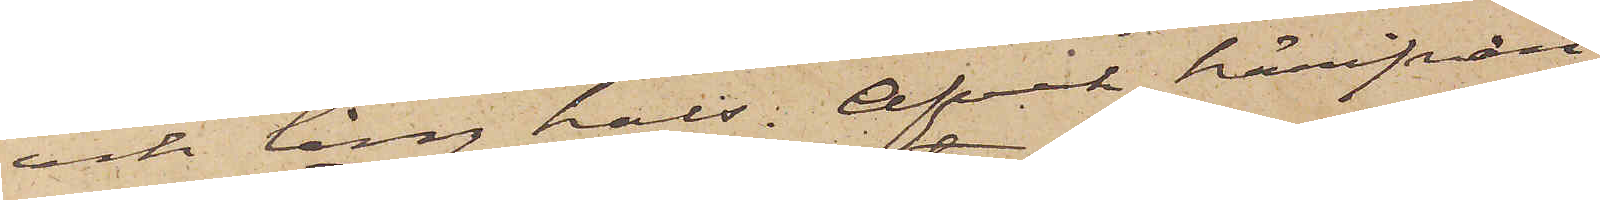och lång hals. Afvek härifrån
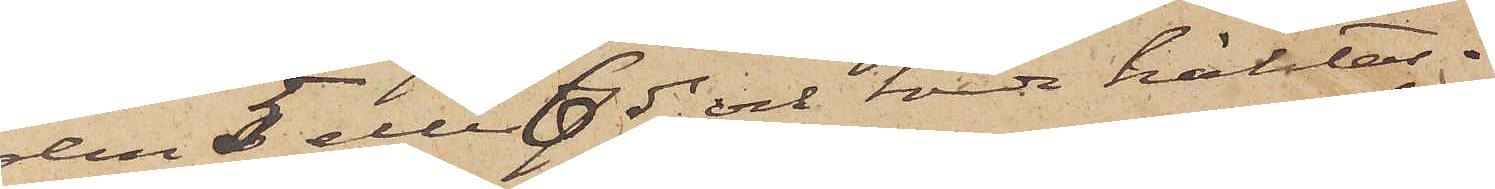den 5 eller 6 ds och torde häktas.
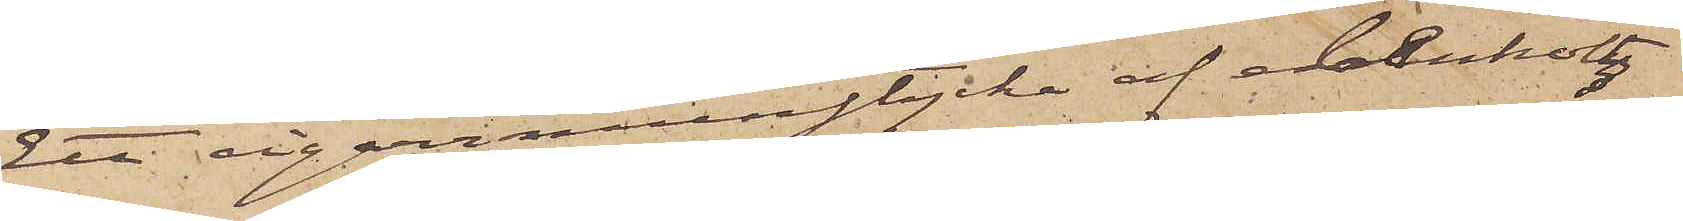Ett cigarrmunstycke af ebenholtz
